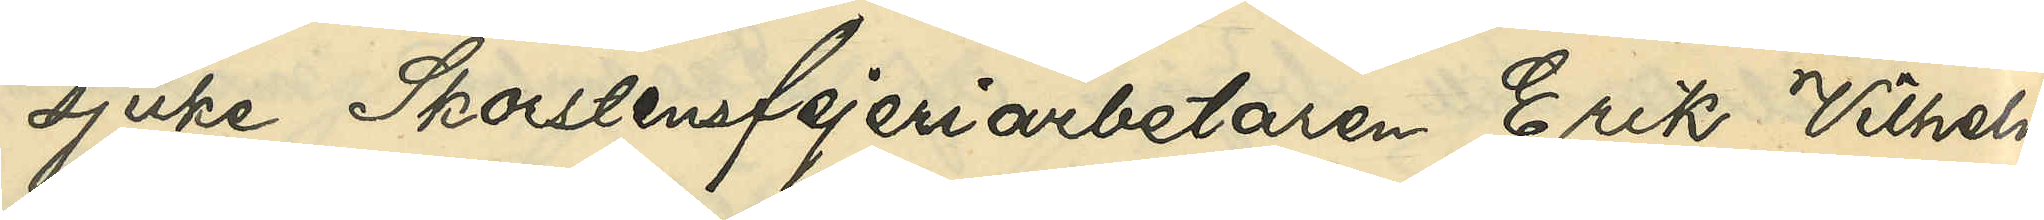sjuke Skorstensfejeriarbetaren Erik Vilhelm
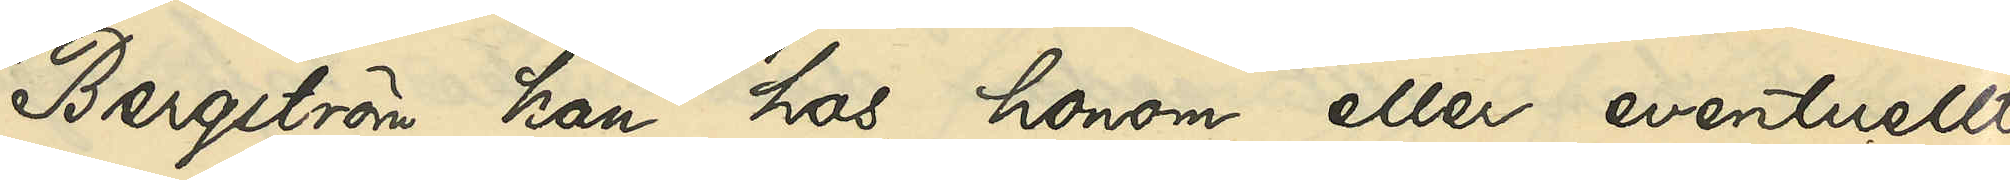Bergström kan hos honom eller eventuellt
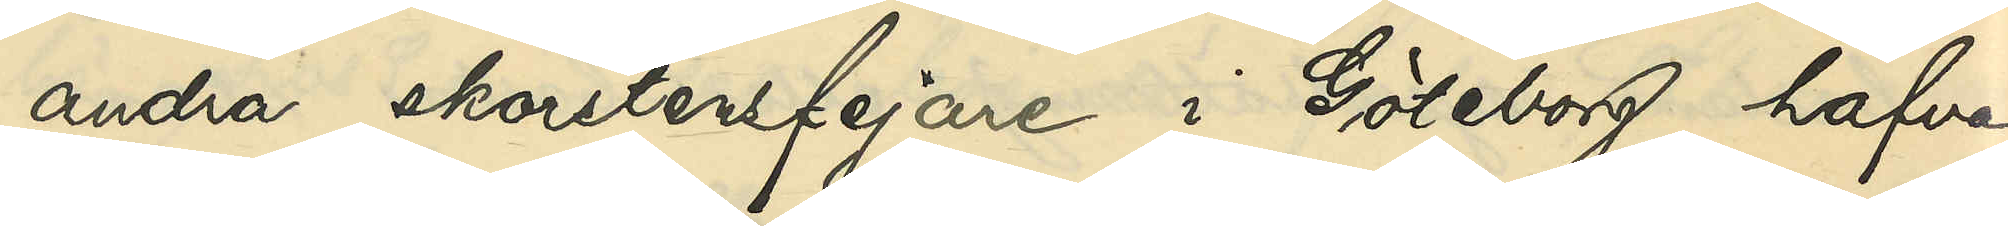andra skorstensfejare i Göteborg hafva
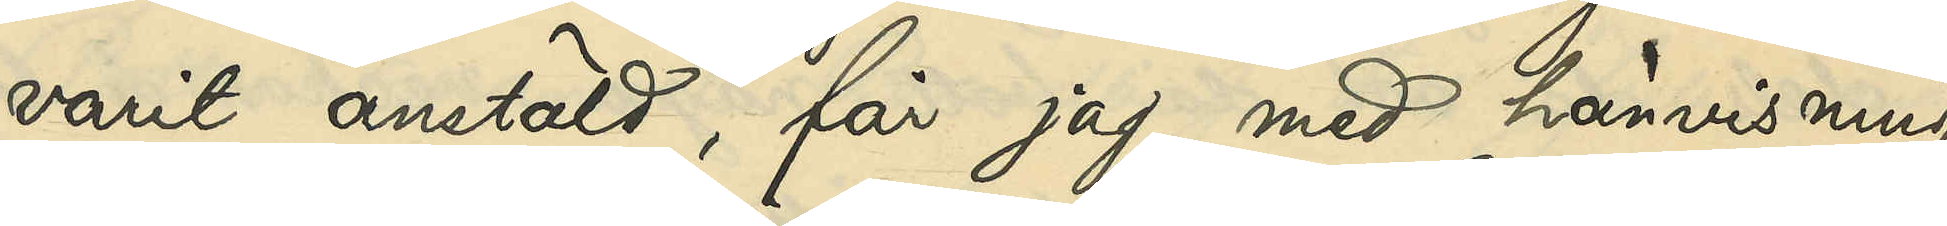varit anstäld, får jag, med hänvisning
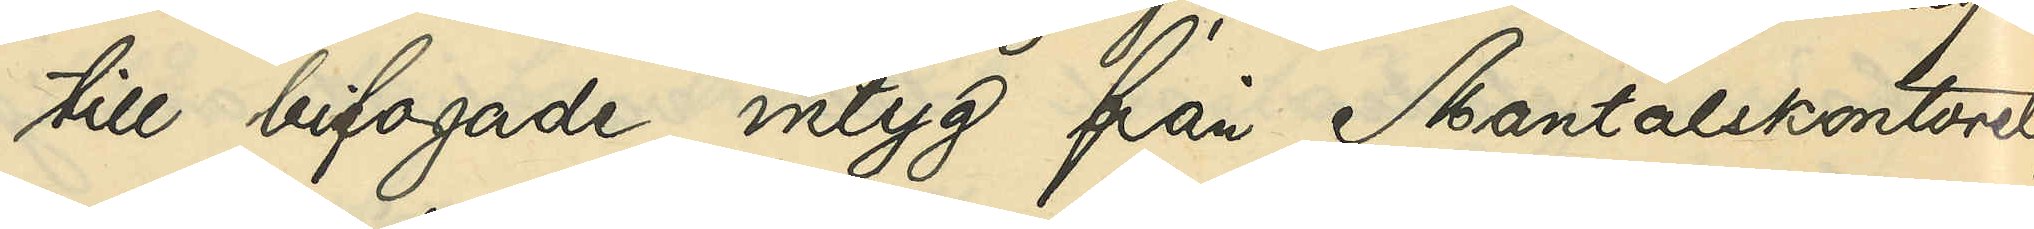till bifogade intyg från Mantalskontoret,
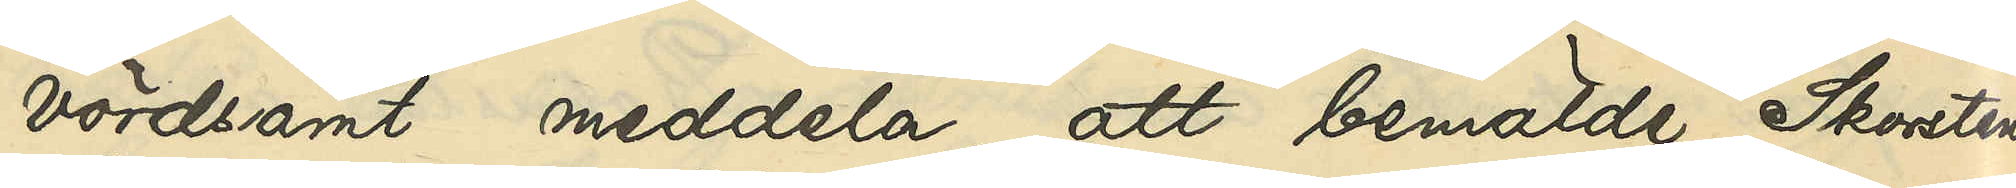vördsamt meddela, att bemälde Skorstens¬
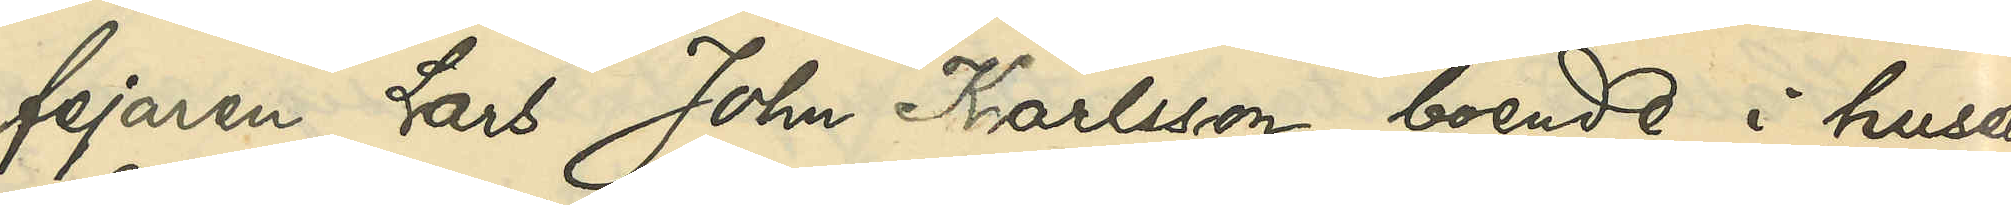fejaren Lars John Karlsson, boende i huset
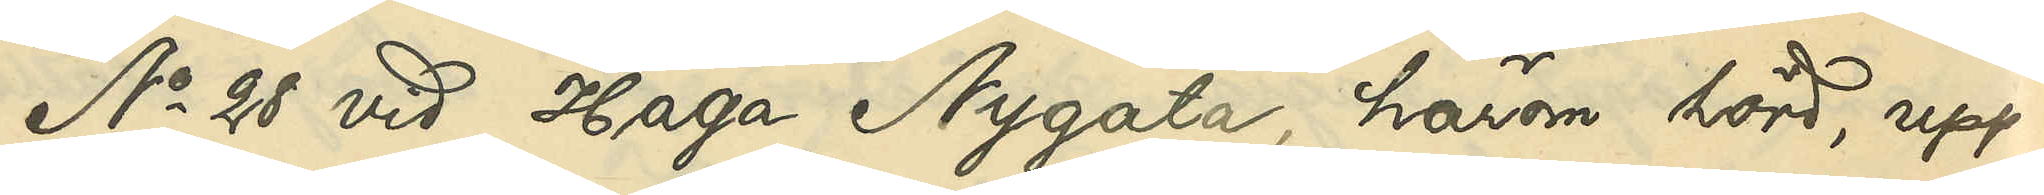No 28 vid Haga Nygata, härom hörd, upp¬
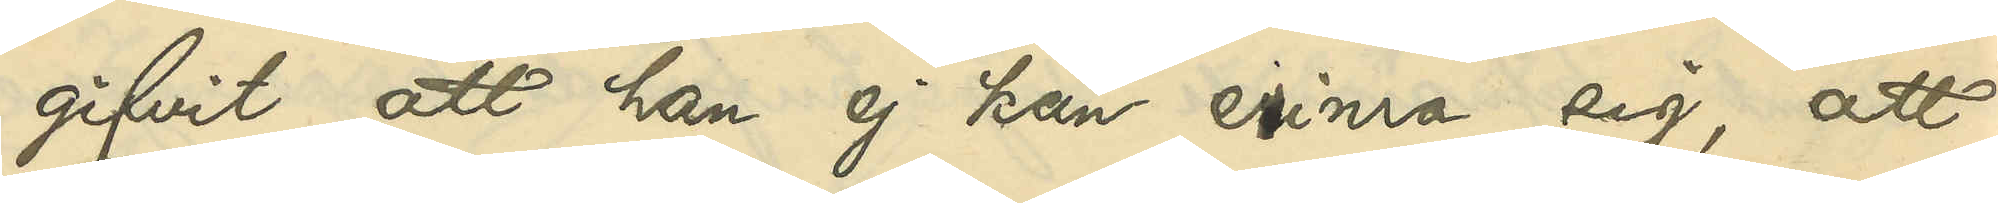gifvit, att han ej kan erinra sig, att
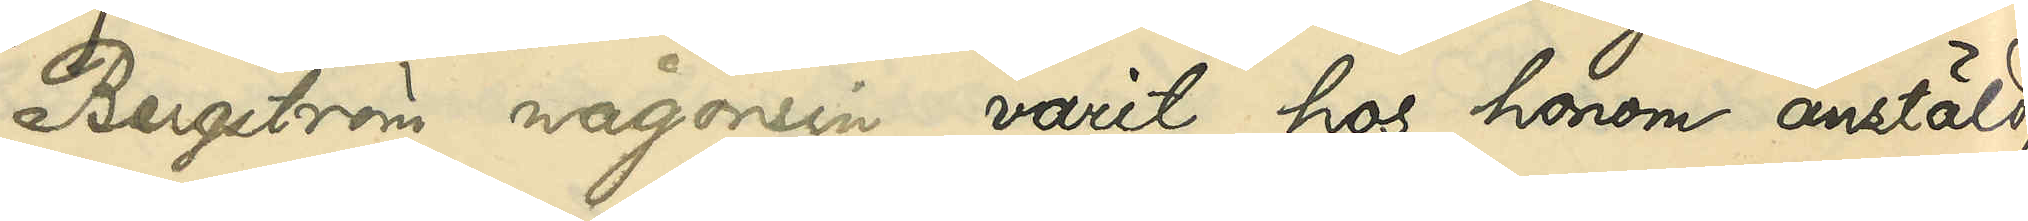Bergström någonsin varit hos honom anstäld,
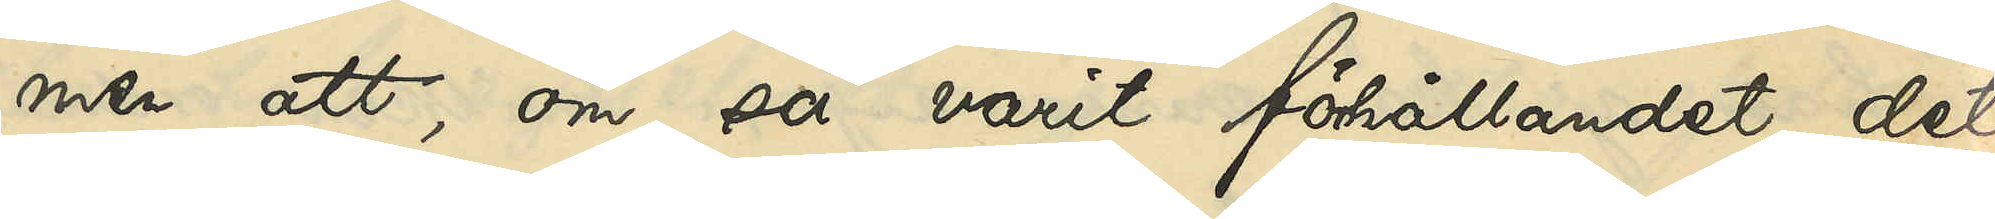men att om så varit förhållandet, det
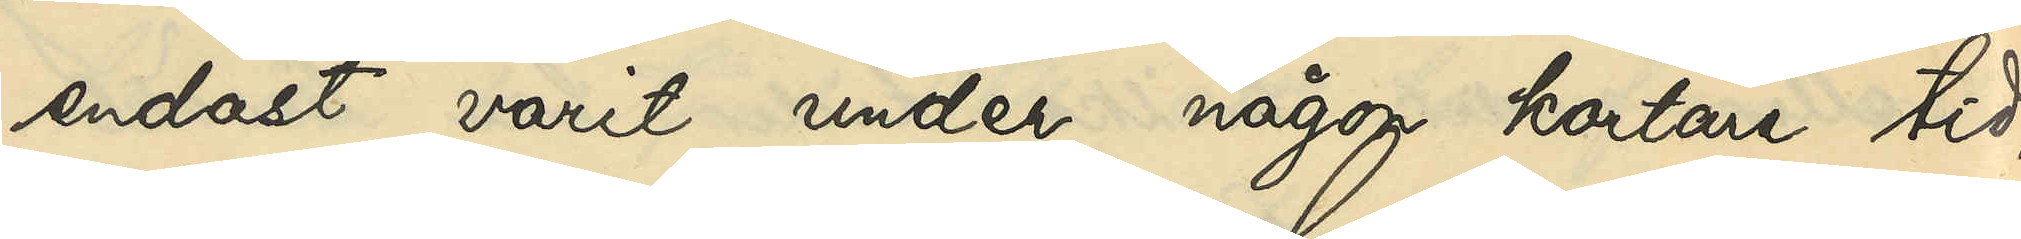endast varit under någon kortare tid,
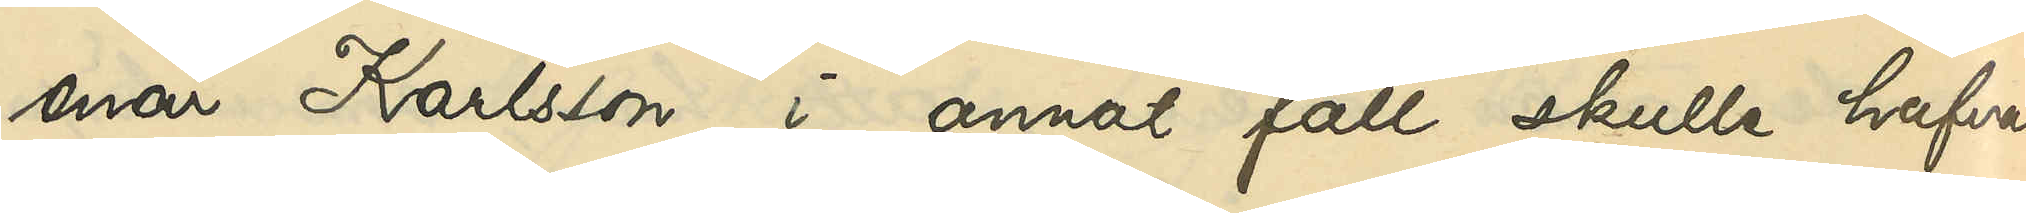enär Karlsson i annat fall skulle hafva
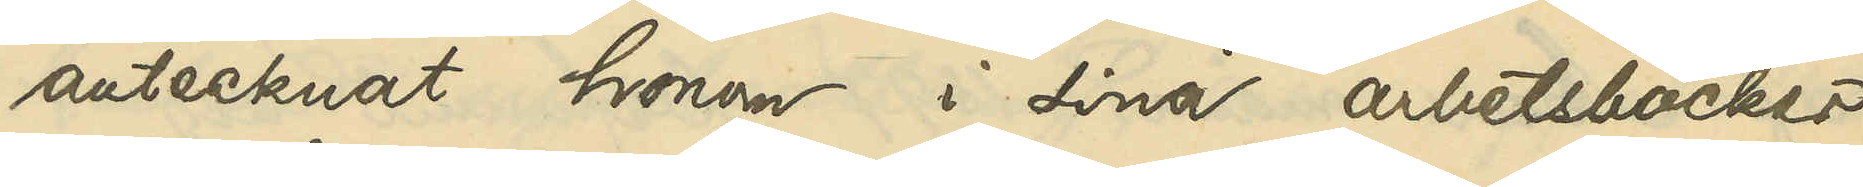antecknat honom i sina arbetsböcker.
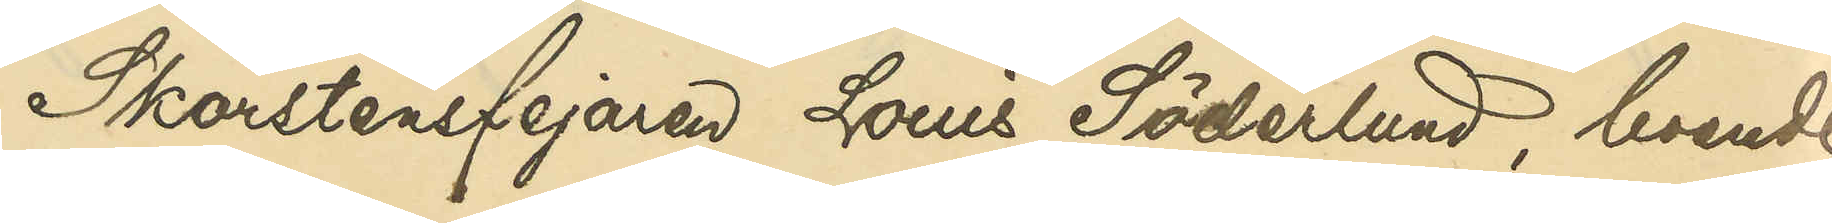Skorstensfejaren Louis Söderlund, boende
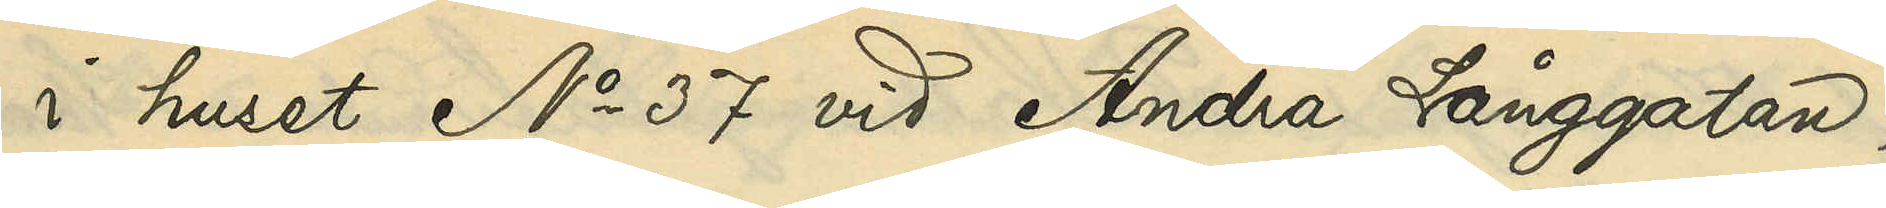i huset No 37 vid Andra Långgatan,
